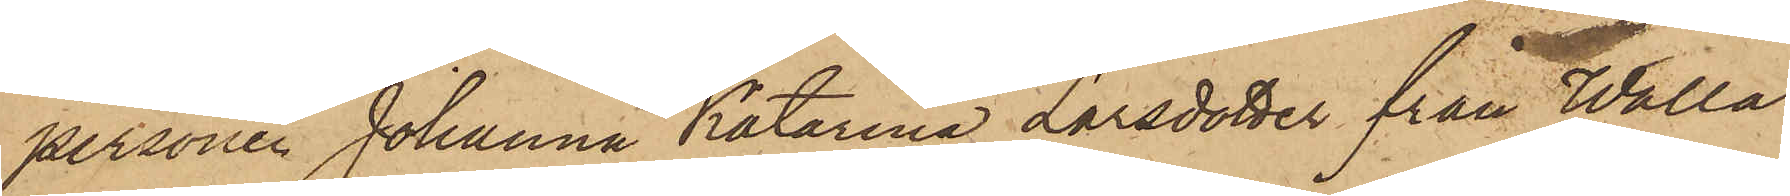personen Johanna Katarina Larsdotter från Walla
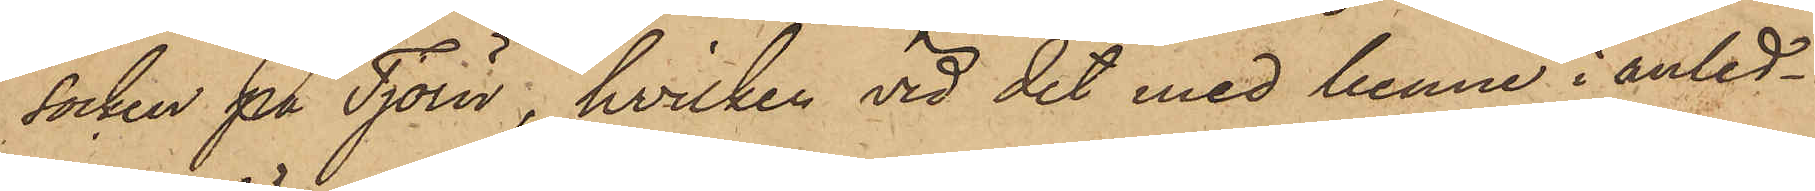Socken på Tjörn, hvilken vid det med henne i anled¬
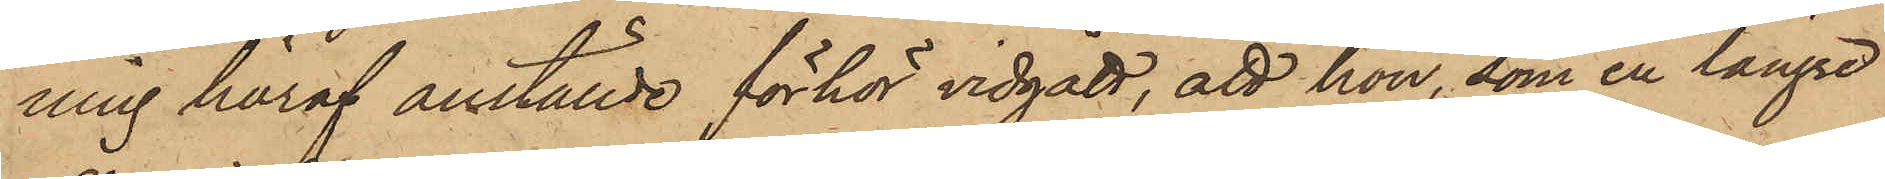ning häraf anställde förhör vidgått, att hon, som en längre
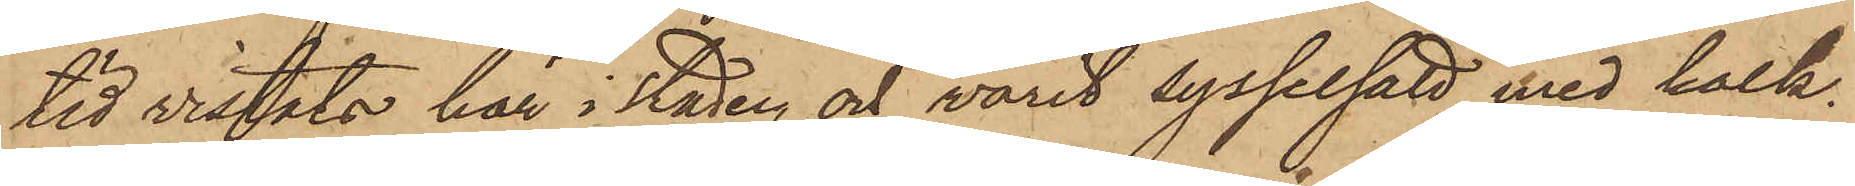tid vistats här i staden och varit sysselsatt med kalk¬
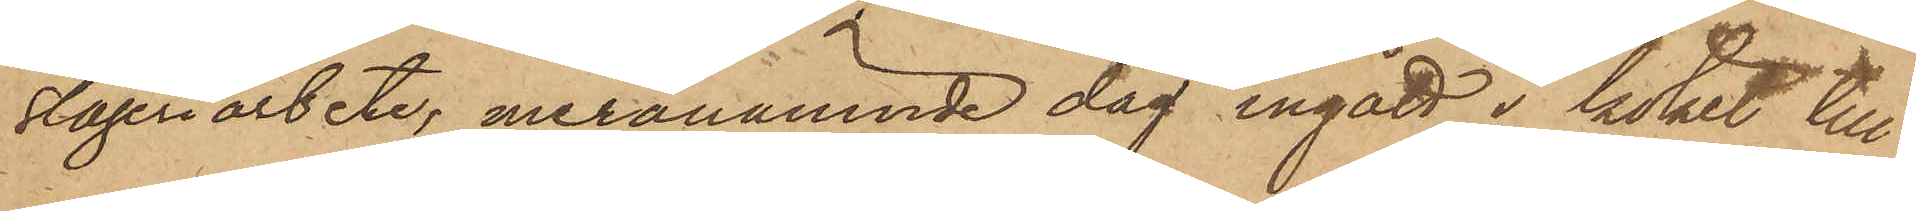slageriarbete, meranämnde dag ingått i köket till
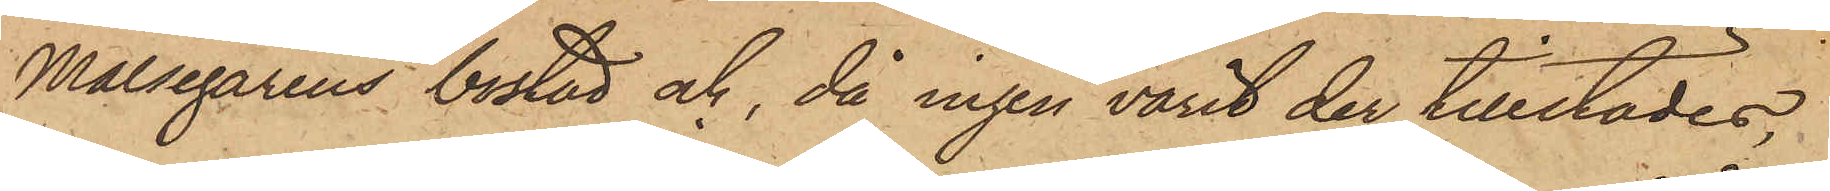Målsegarens bostad och, då ingen varit der tillstädes,
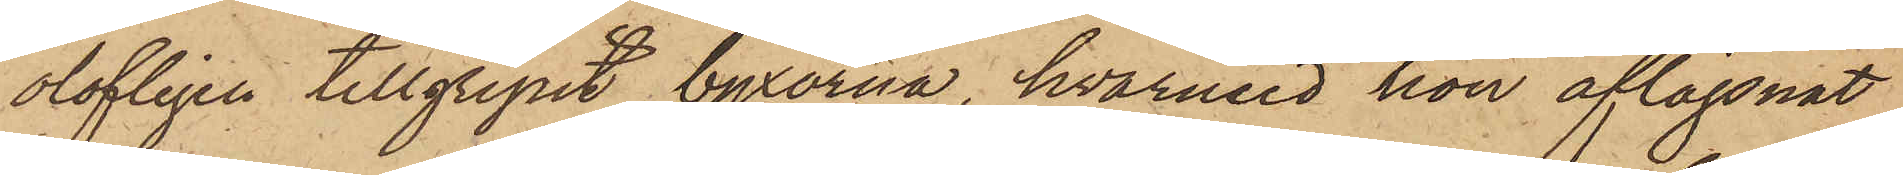olofligen tillgripit byxorna, hvarmed hon aflägsnat
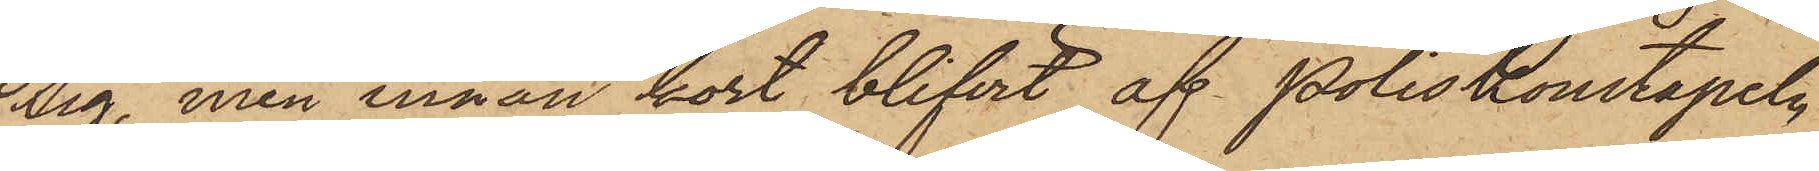sig, men innan kort blifvit af Poliskonstapeln
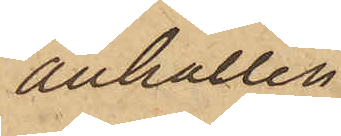anhållen.
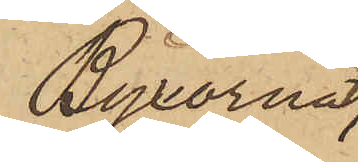Byxorna,
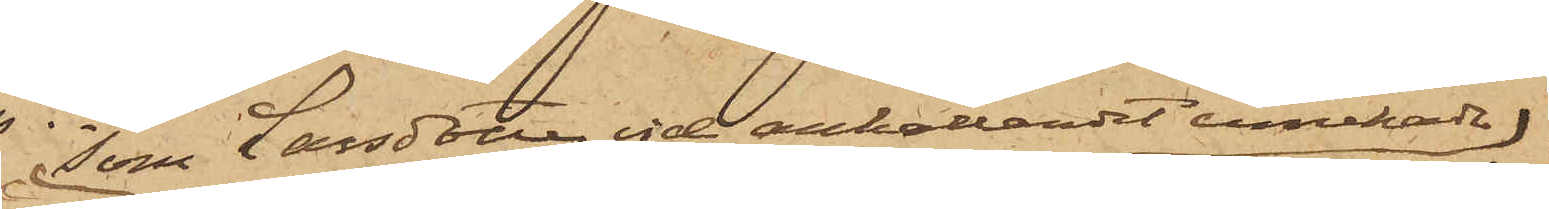som Larsdotter vid anhållandet innehade
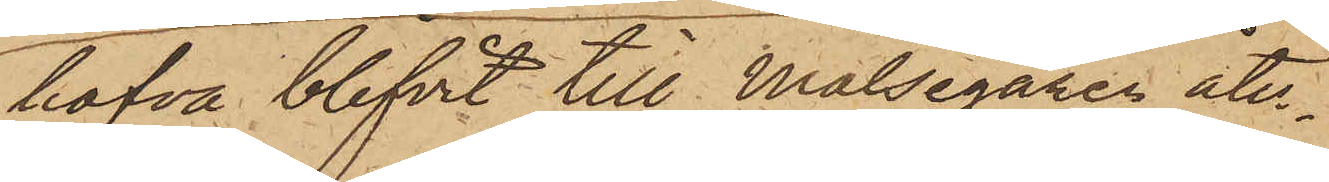hafva blifvit till Målsegaren åter¬
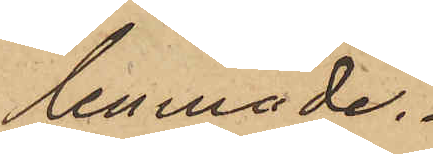lemnade.
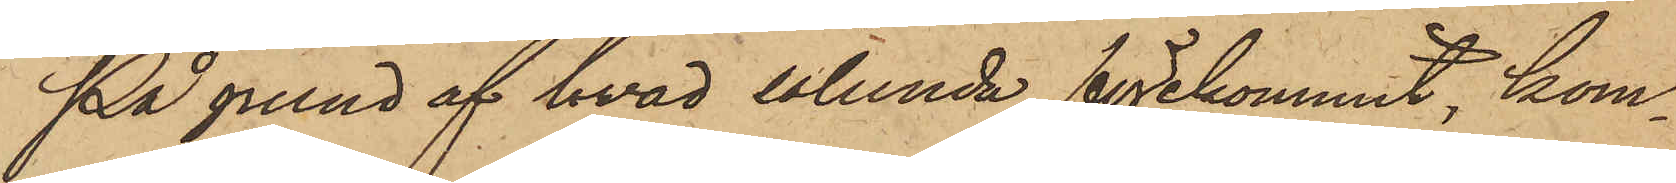På grund af hvad sålunda förekommit, kom¬
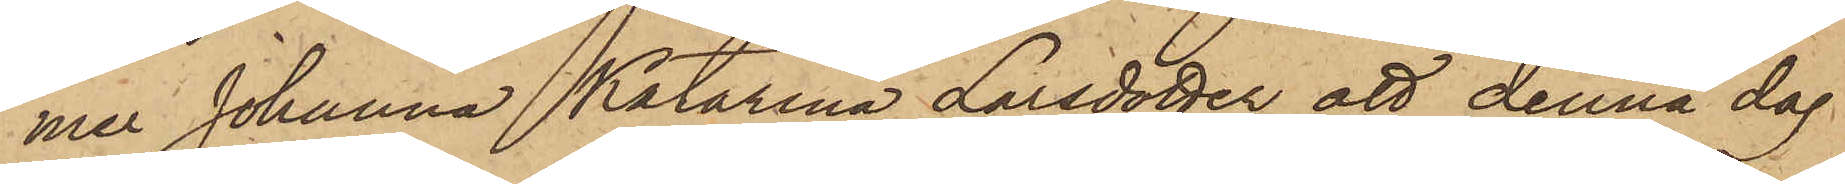mer Johanna Katarina Larsdotter att denna dag
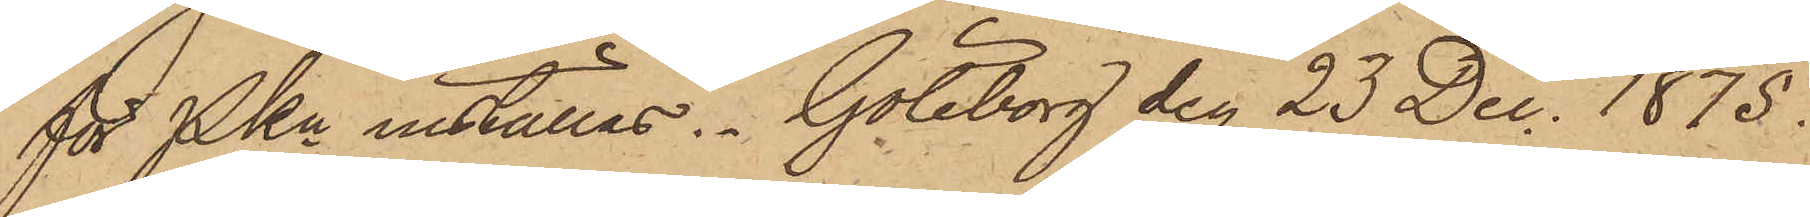för PKn inställas. Göteborg den 23 Dec. 1875.
